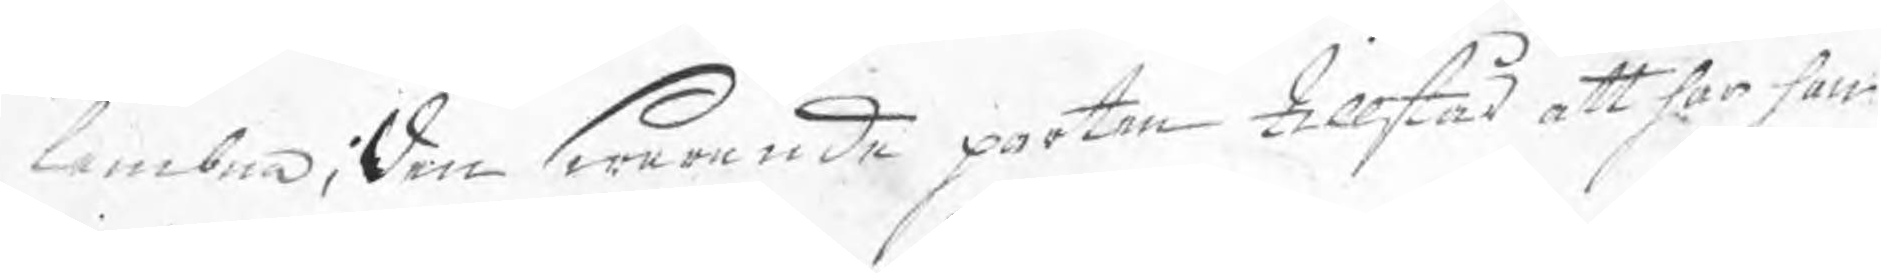lembna; Den Swarande parten tillstår att har han
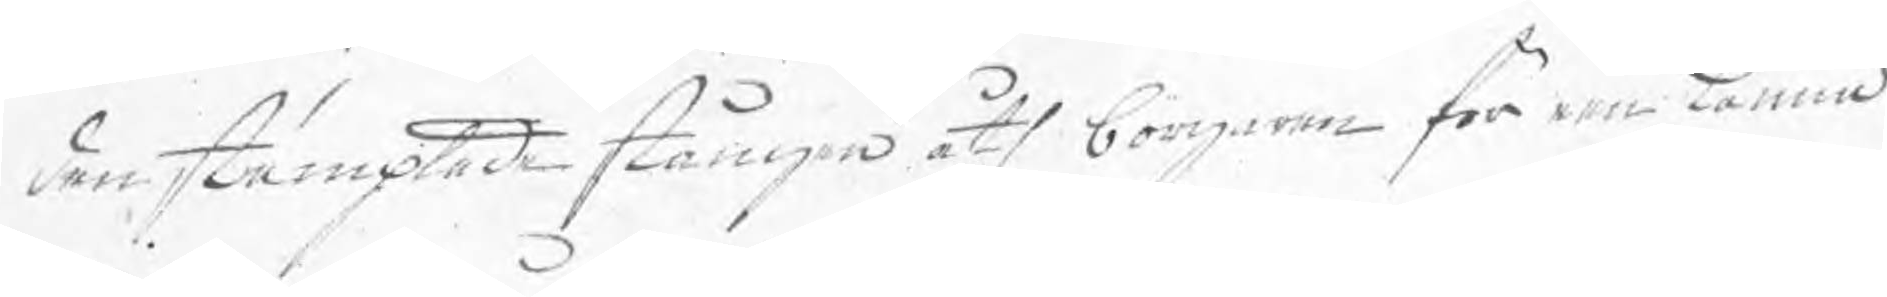den stämplade stången åth borgaren för een Kanna
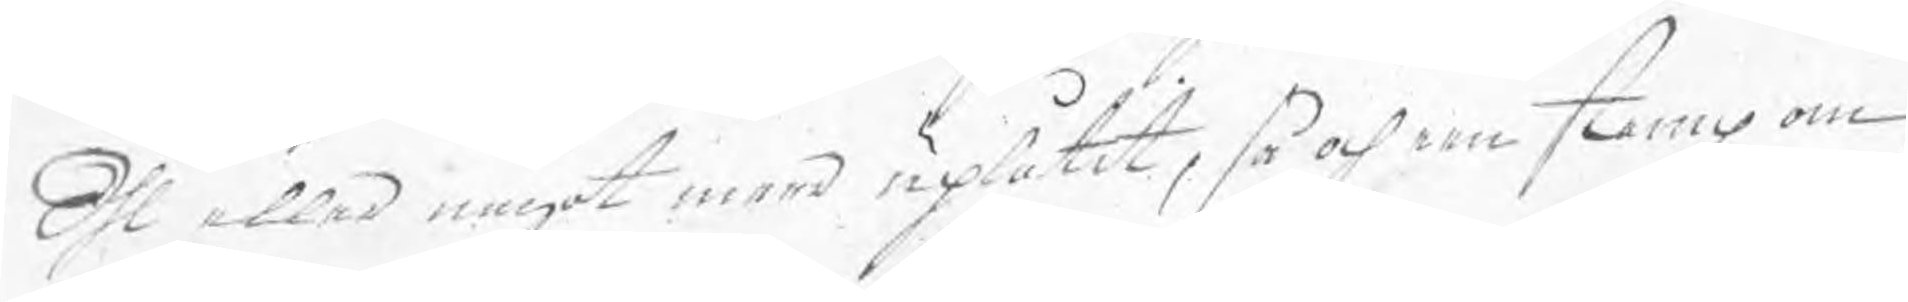Öhl eller något meer uplåtit, så och een steng om
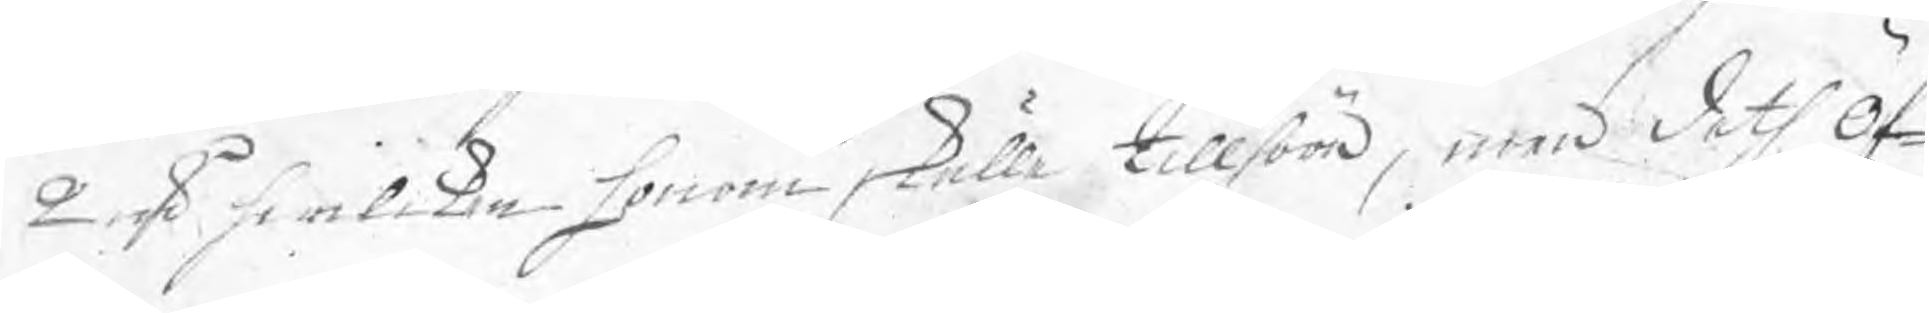2 ns hwilken honom skulle tillhöra, men deth öf¬
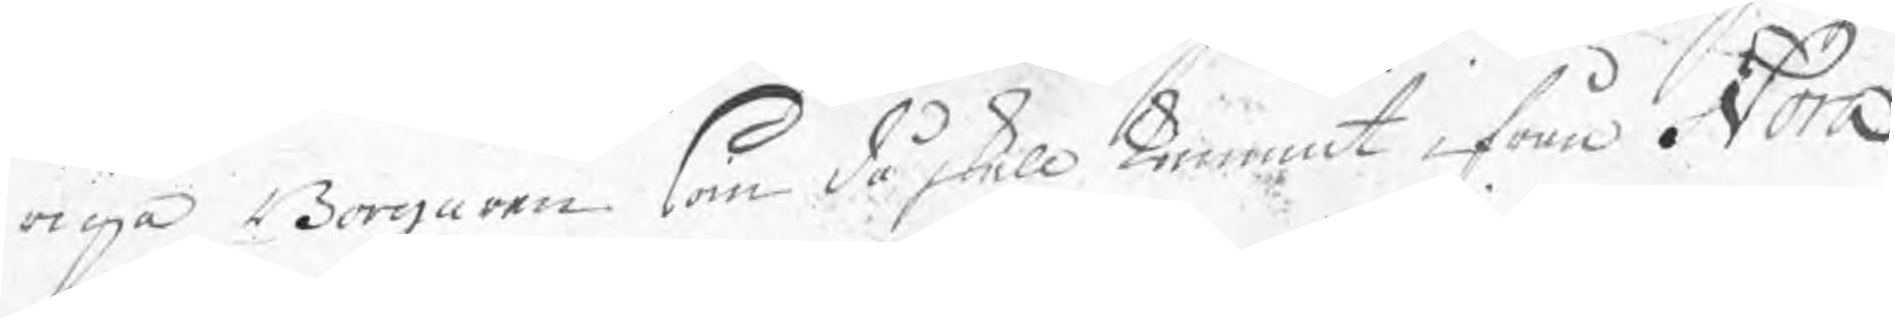riga Borgaren som då skall kommit i från Nora
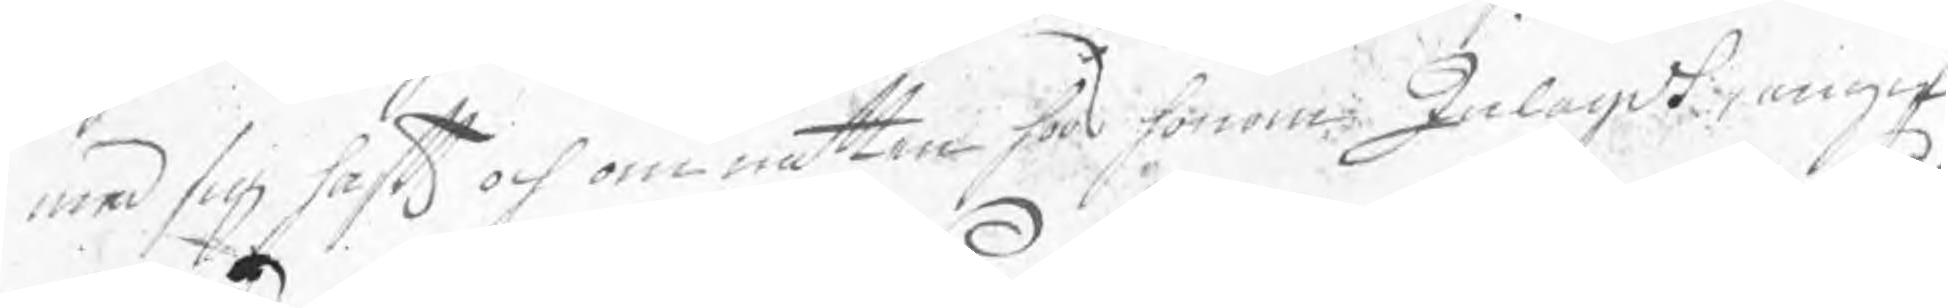med sig haft och om natten hoos honom Inlagdt, angif¬
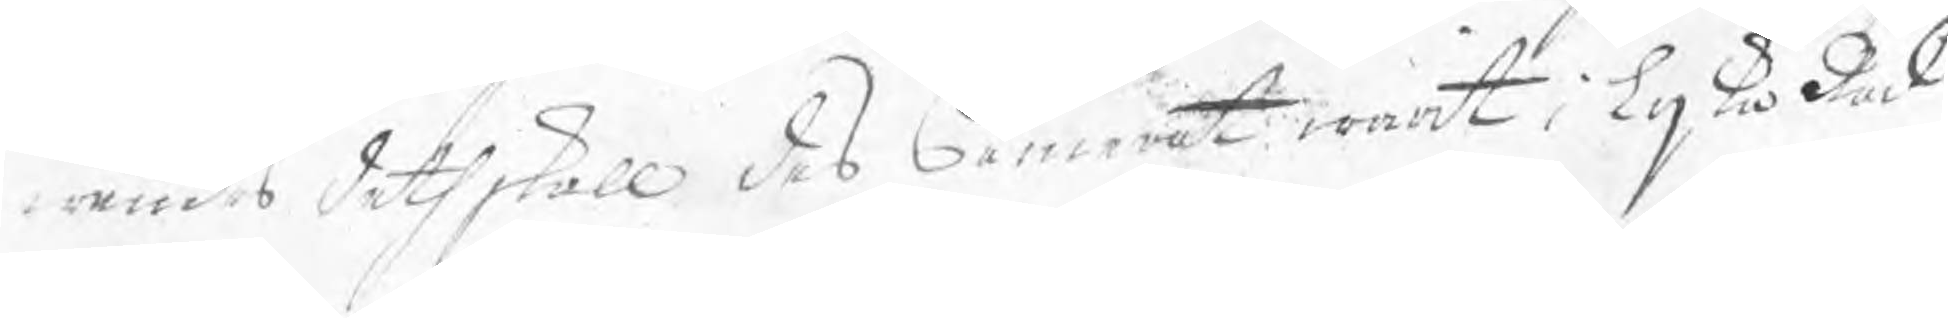wandes deth skall des Camerat warit i lijka råd
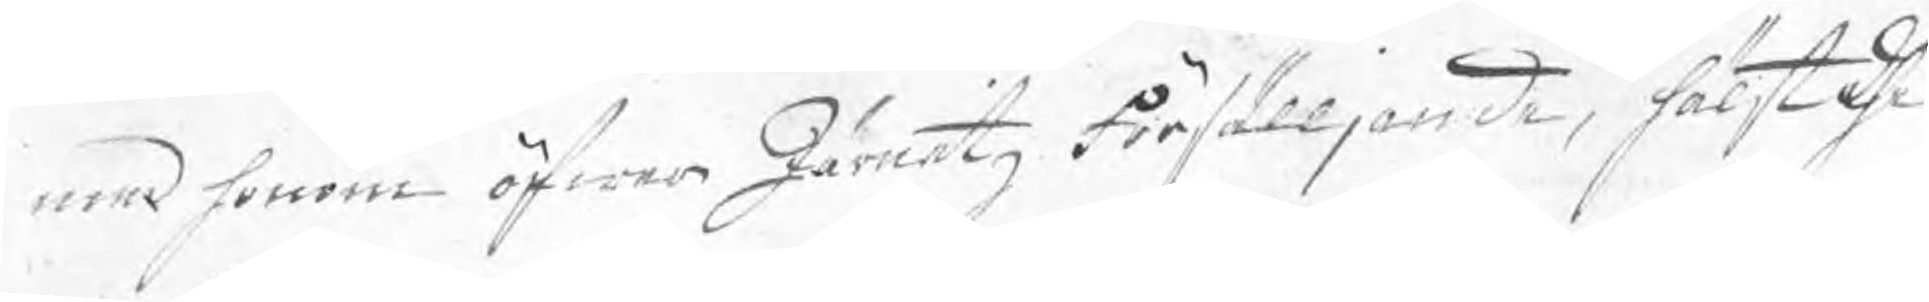med honom öfwer Järnetz försälljande, hälst dhe
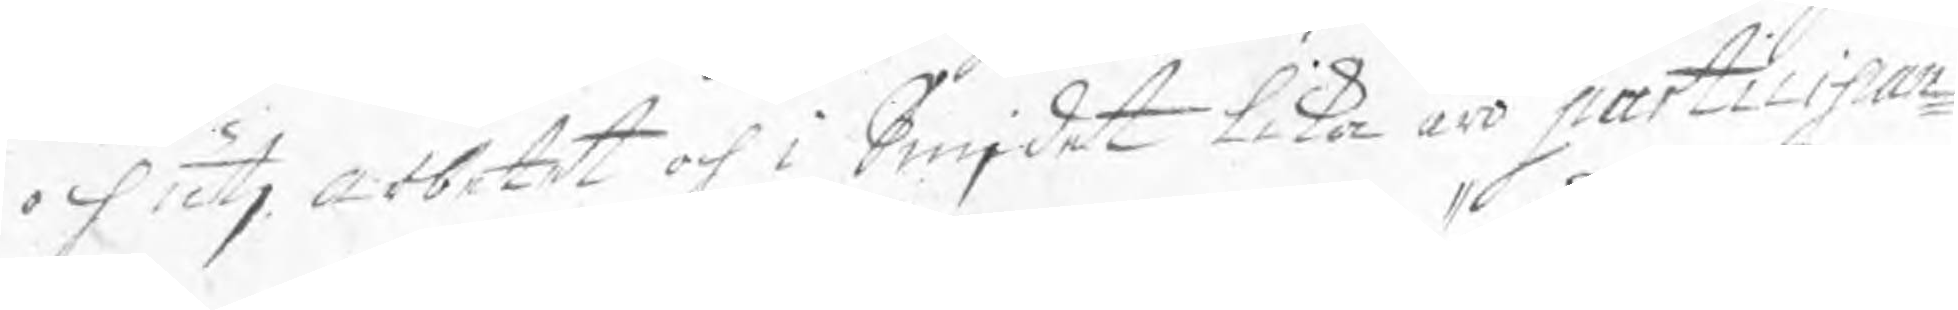och utj arbetet och i Smjdet lika äro participan¬
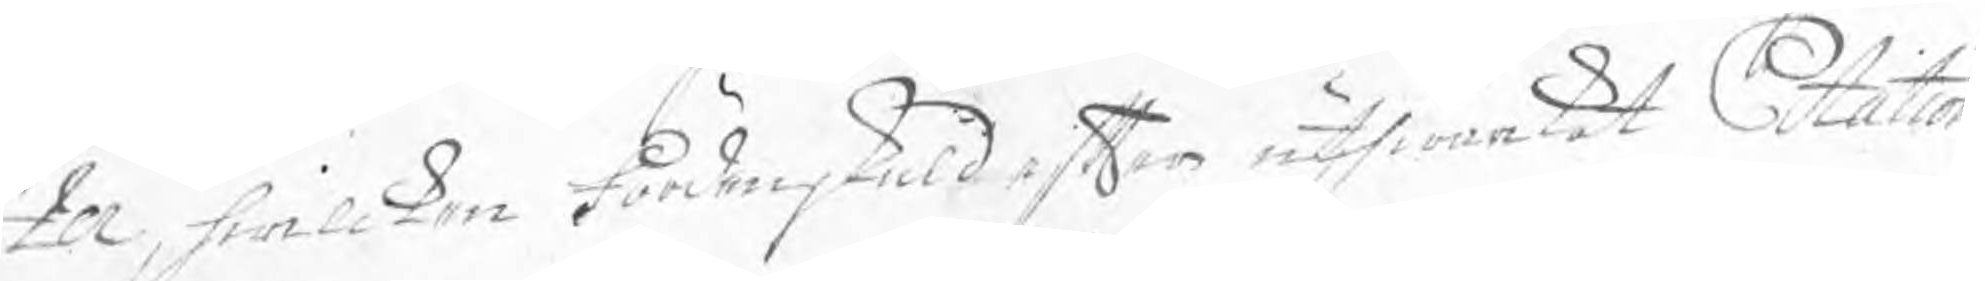ter, hwilken fördenskuld efter uthwärkat Citation
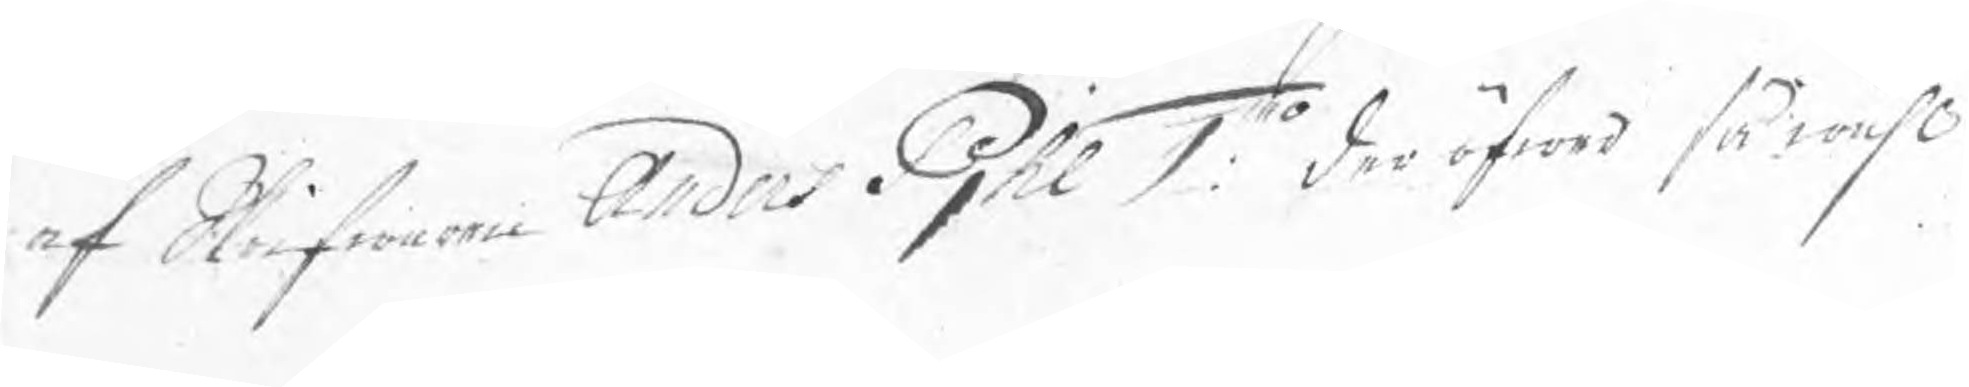af Skrifwaren Anders Pjhl 1:mo der öfwer så wähl
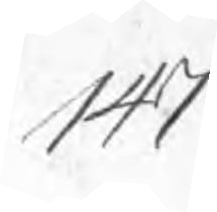147
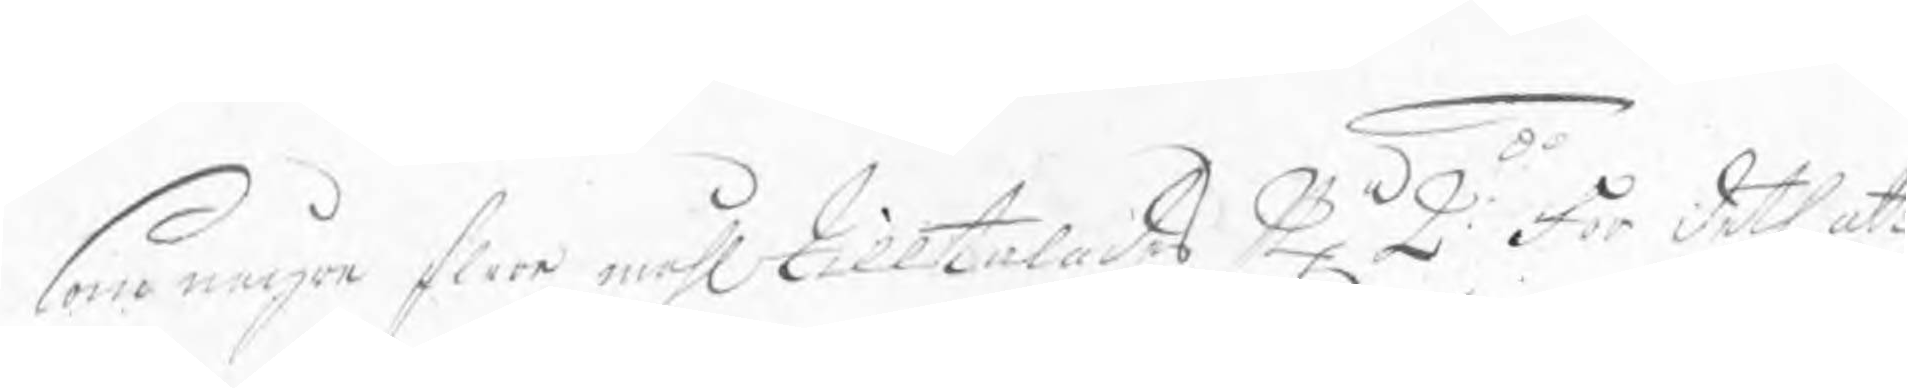som några flera måhl tilltalades Nr 2:do för deth att
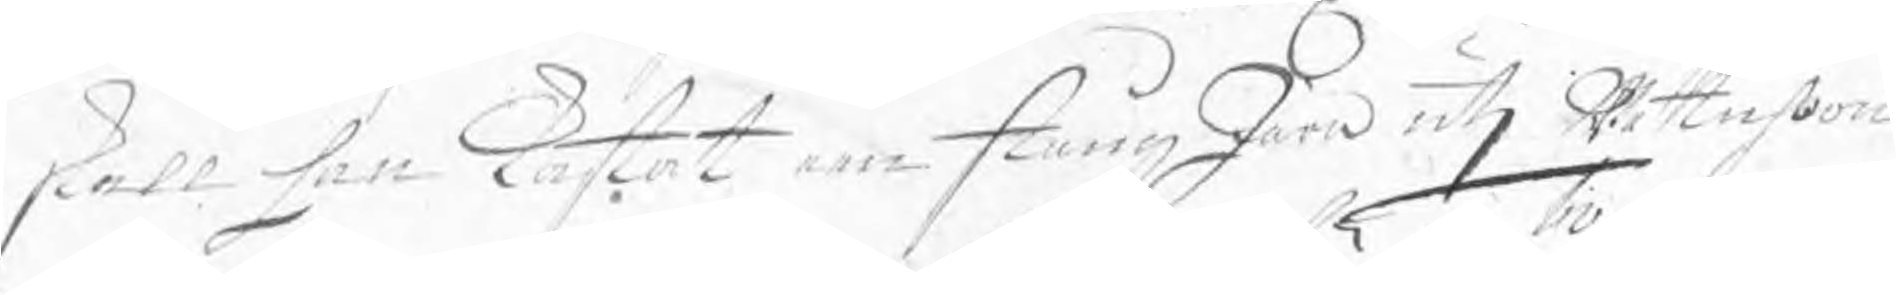skall han kastat een stång Järn utj Wattuhon
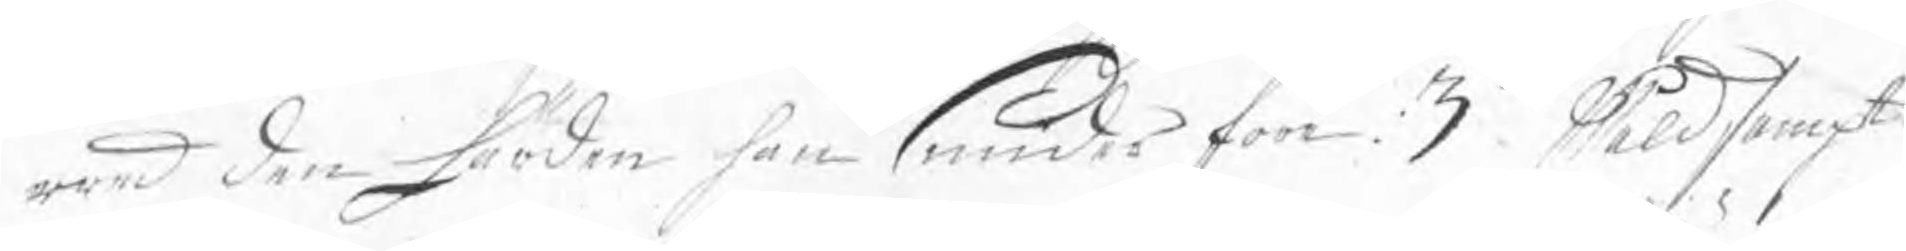wed den härden han smider förr: 3tio Wåldsampt
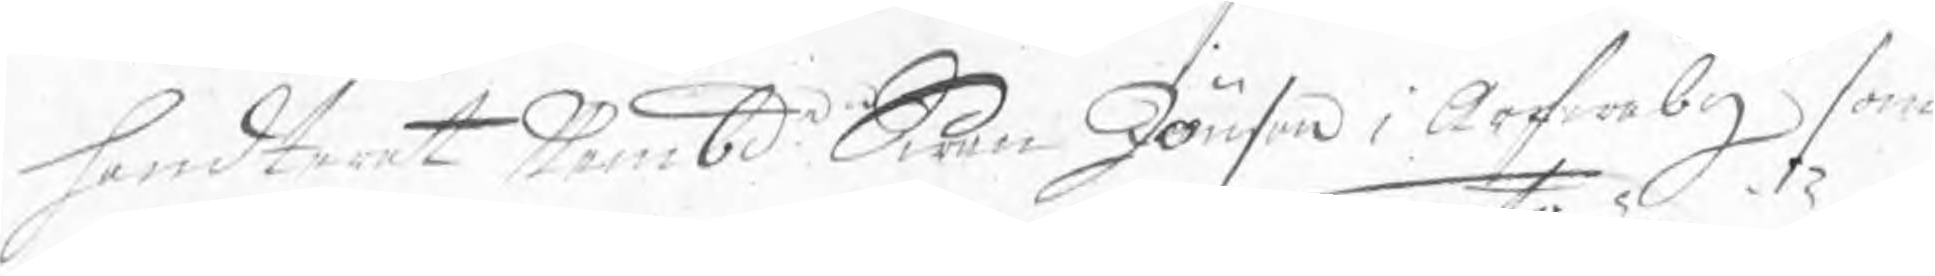handterat Nembde Swen Jönson i Arfwaby som
